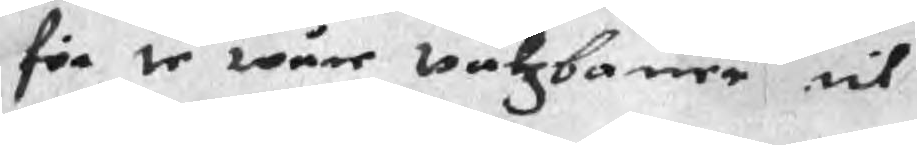för te wåre wåtzbaner til
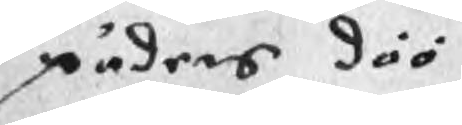päders döö
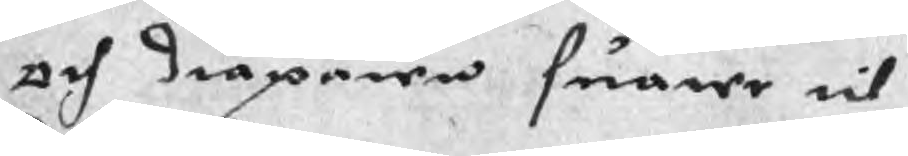och dråparen suarer til
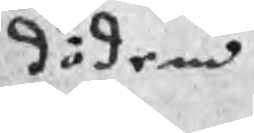döden
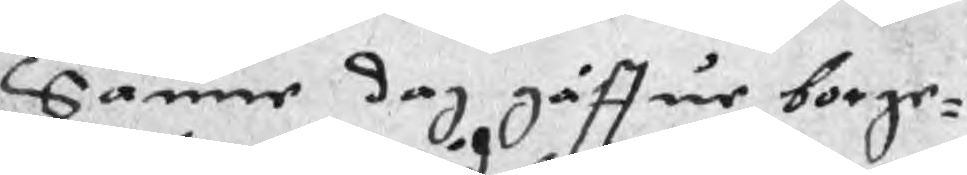Sanne dag gåffue borge¬
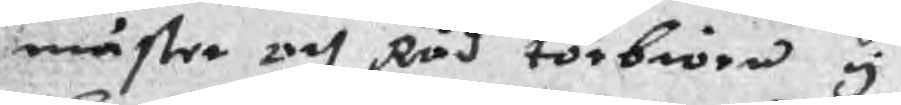mäster och Råd torbiörn y
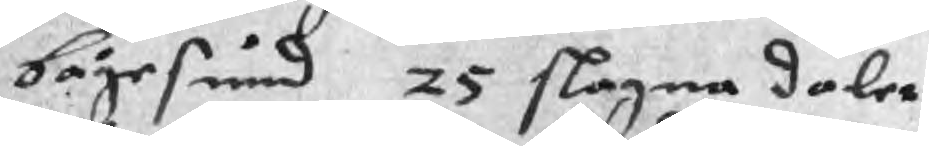bågesund 25 slagna daler
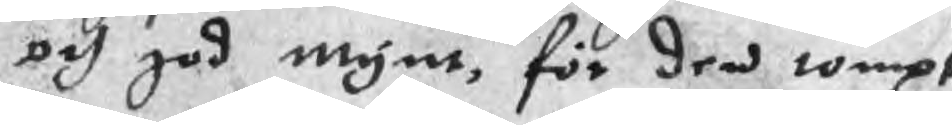och god mynt, för den tompt
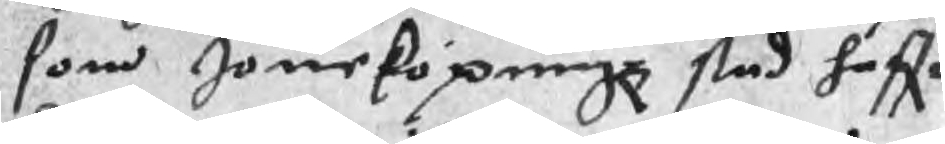som Jöneköpingz stad haffr
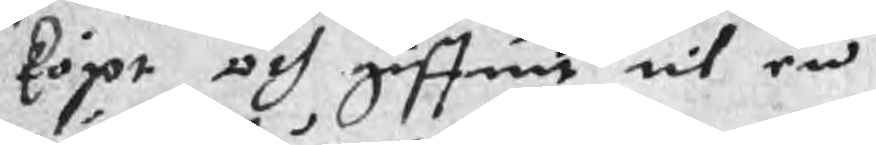köpt och giffuit til en
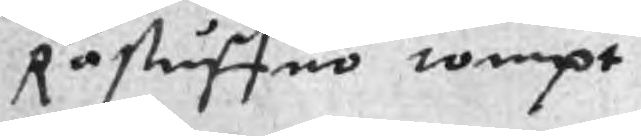Råstuffuo tompt
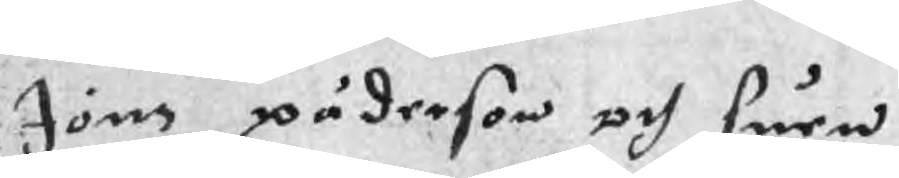Jöns päderson och suen
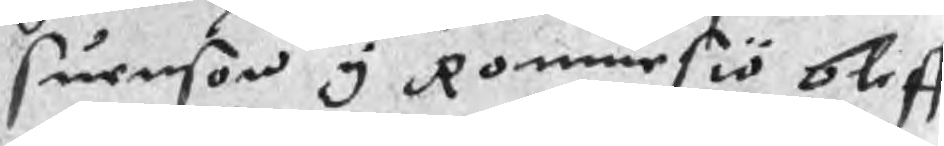Suenson y Rommesiö bleff
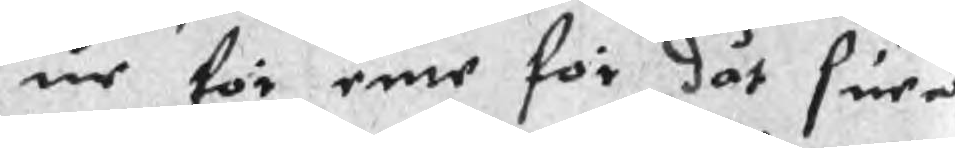ur för enne för dät suen
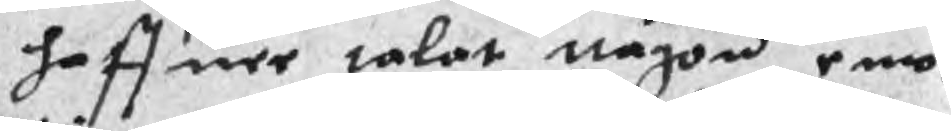haffuer talat någon emot
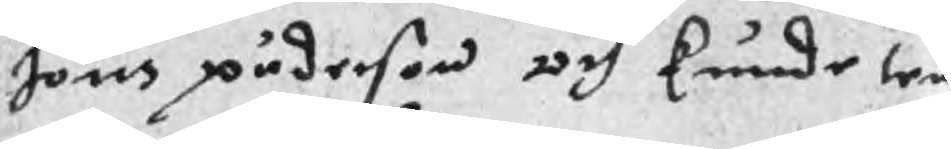Jöns päderson och kunde ten
